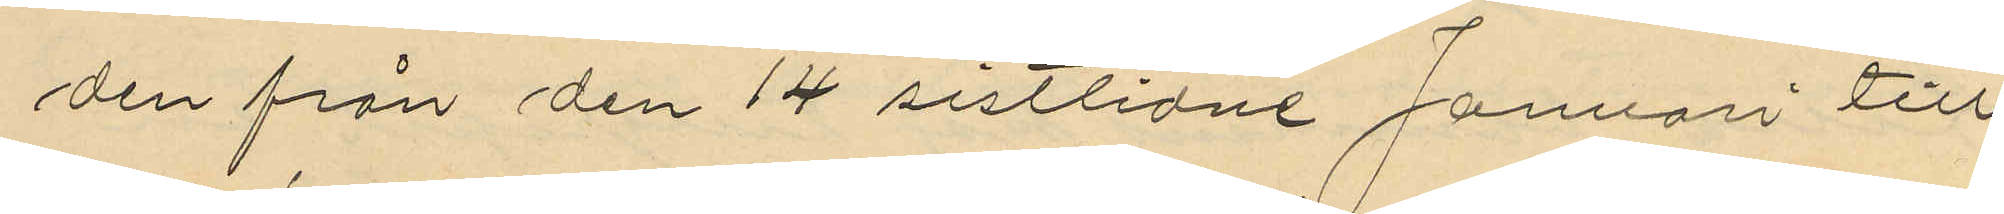den från den 14 sistlidne Januari till
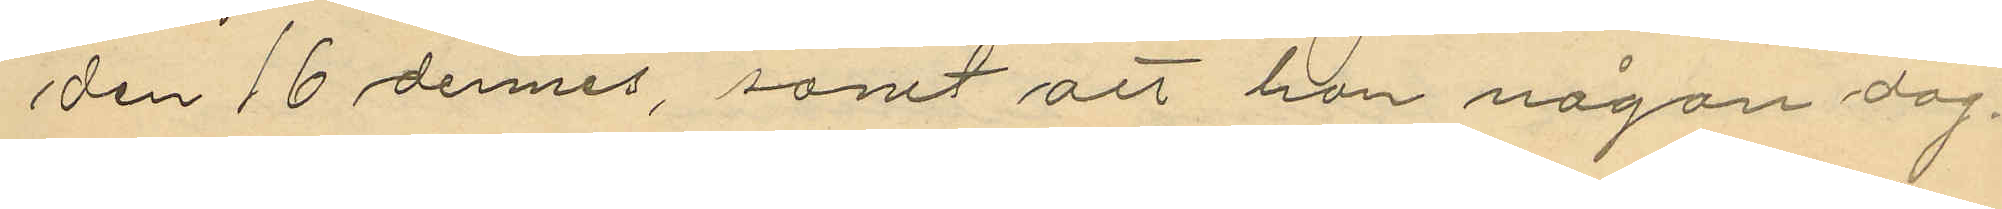den 16 dennes, samt att hon någon dag¬
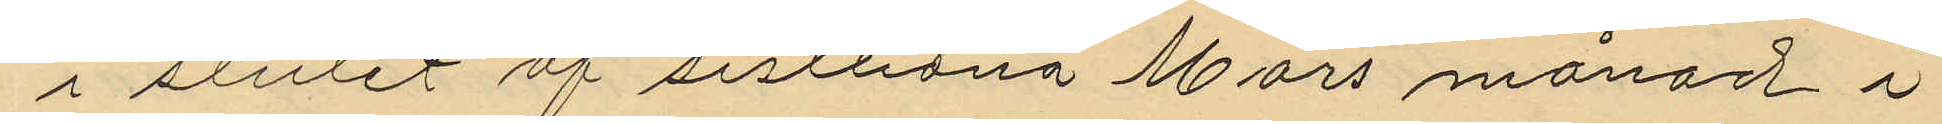i slutet af sistlidna Mars månad i
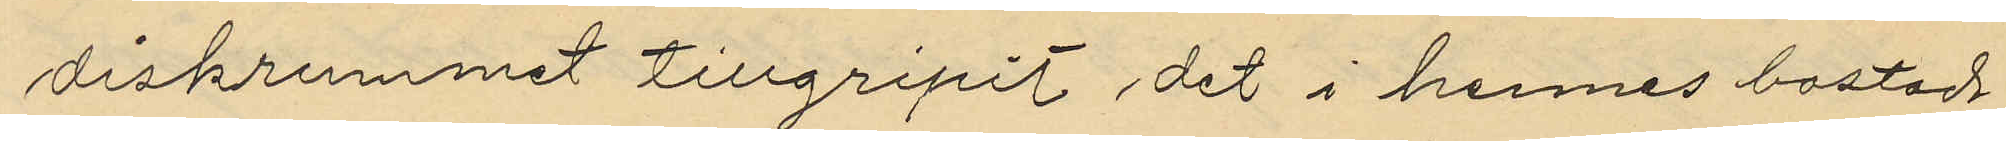diskrummet tillgripit det i hennes bostad
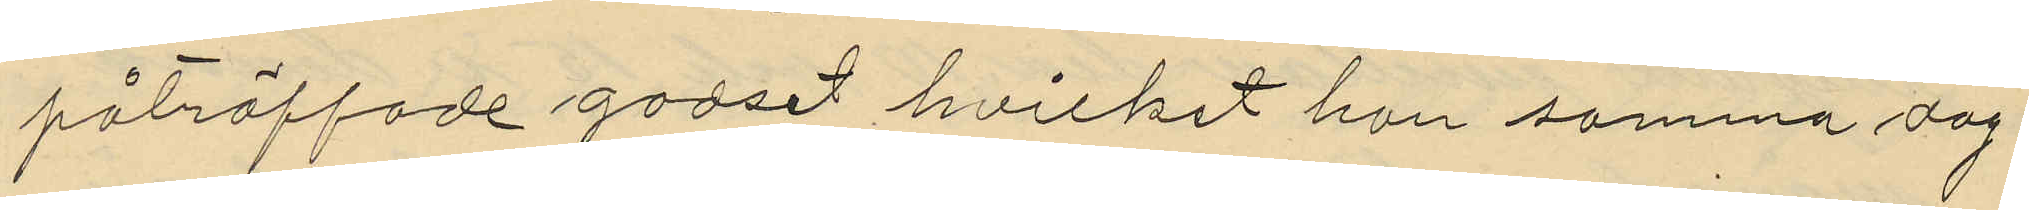påträffade godset hvilket hon samma dag
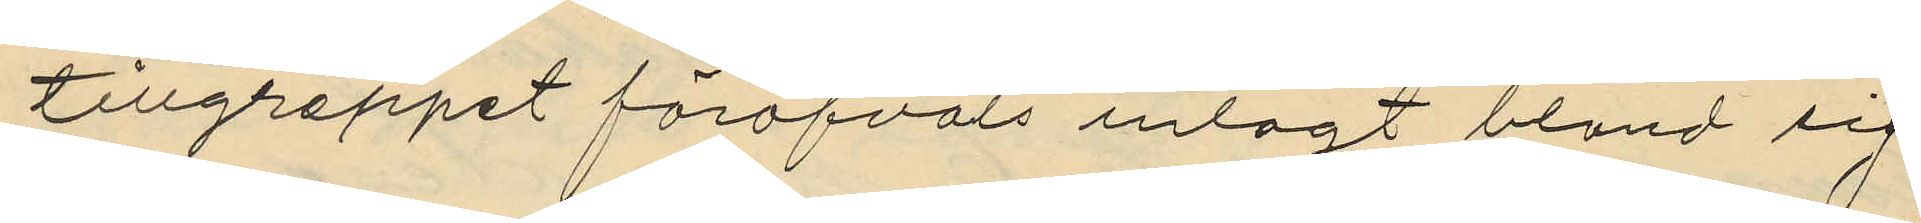tillgreppet föröfvats inlagt bland sig
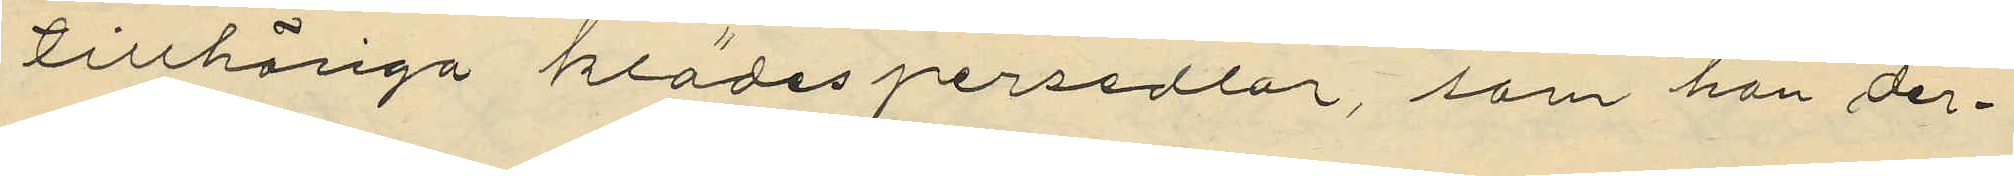tillhöriga klädespersedlar, som hon der¬
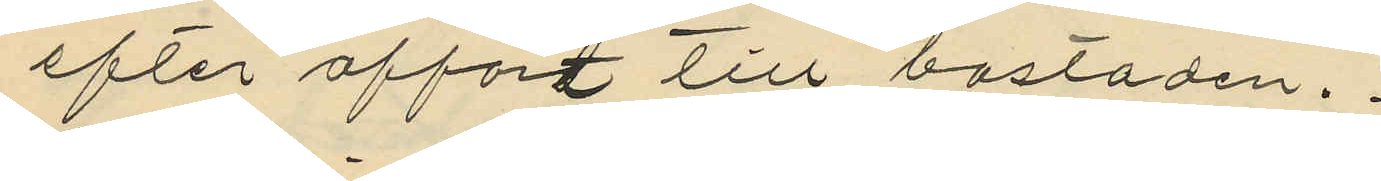efter affört till bostaden.
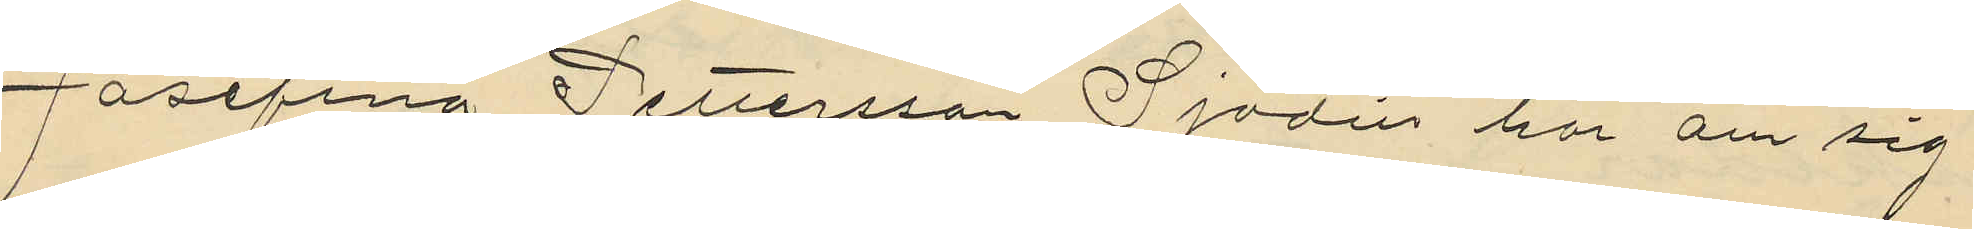Josefina Pettersson Sjödin har om sig
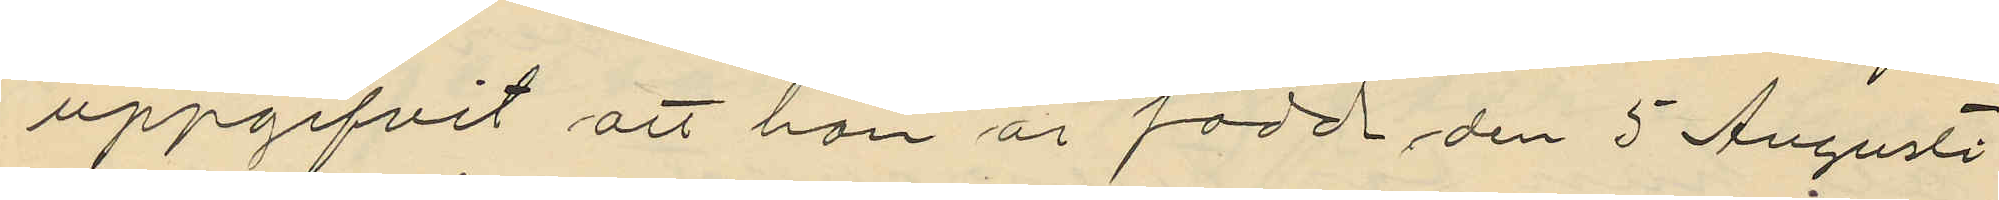uppgifvit att hon är född den 5 Augusti
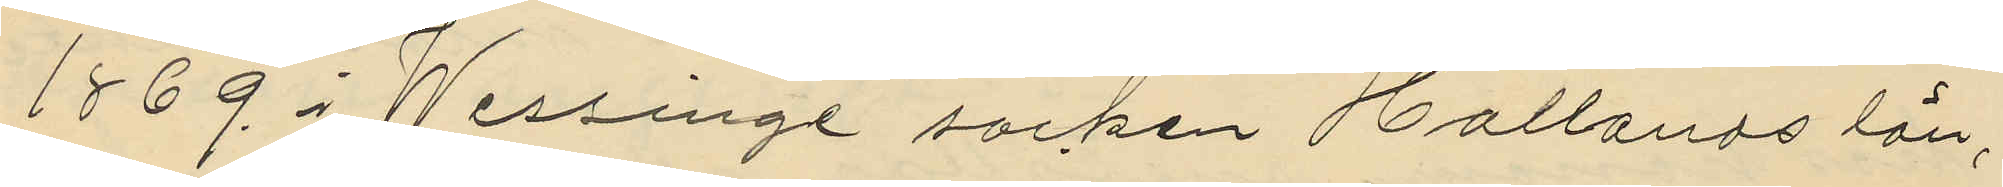1869 i Wessinge socken Hallands län,
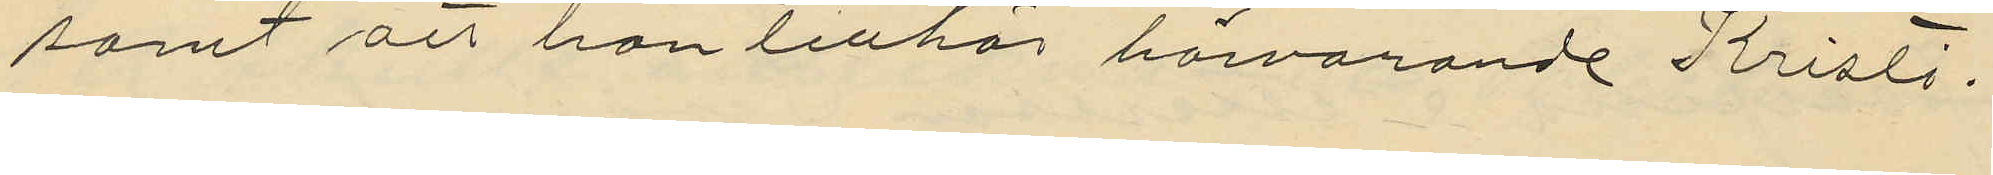samt att hon tillhör härvarande Kristi¬
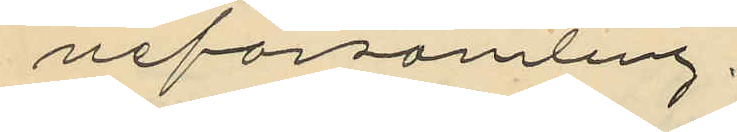neförsamling.
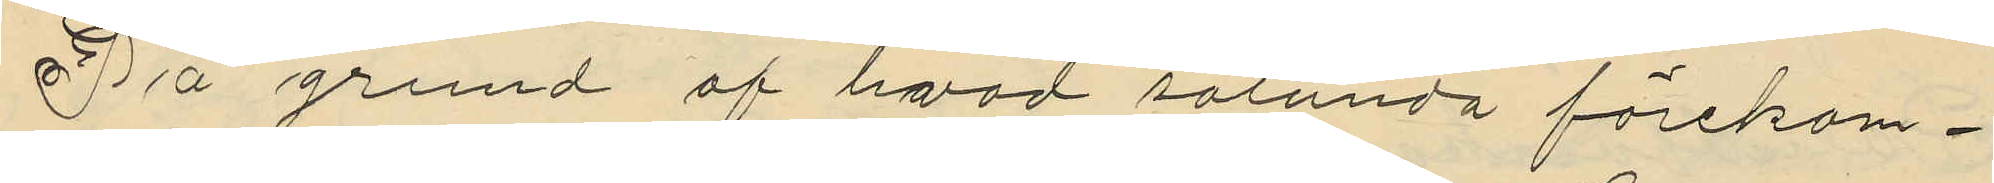På grund af hvad sålunda förekom¬
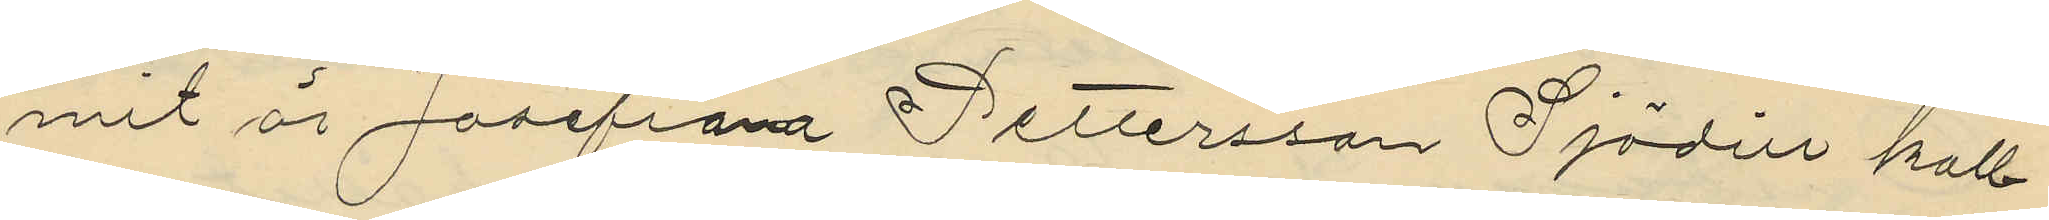mit är Josefina Pettersson Sjödin kall¬
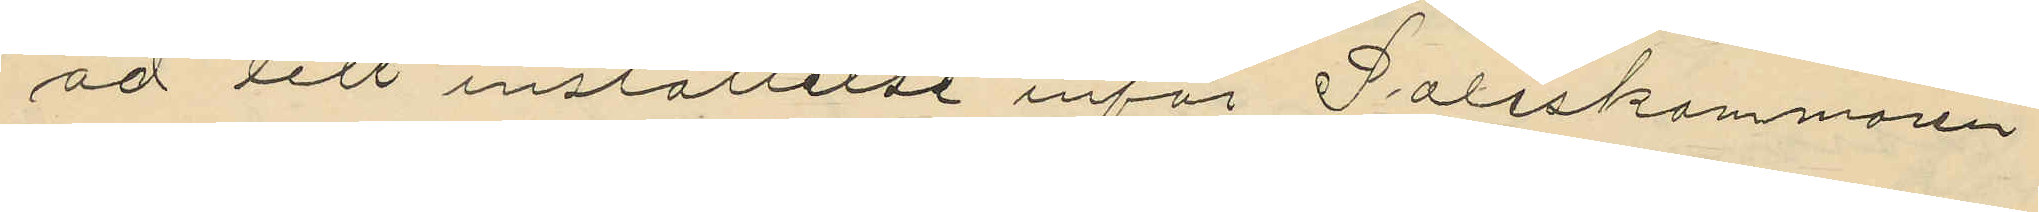ad till inställelse inför Poliskammaren
